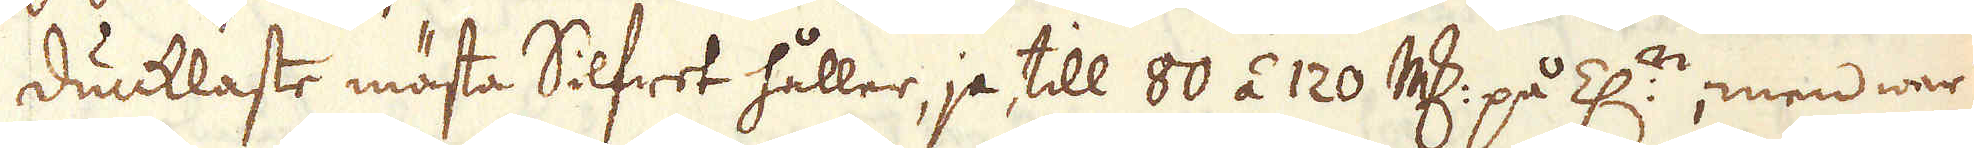dunklaste mästa Silfret håller, ja till 80 á 120 marker på Z:n, men war
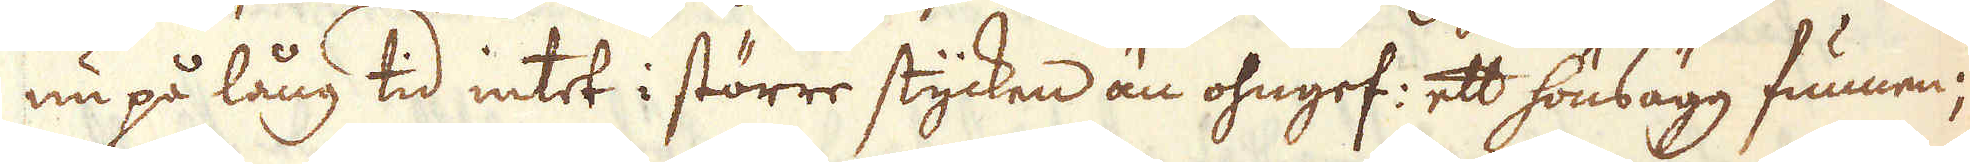nu på lång tid intet i större stycken än ohngef: ett hönsägg funnen;
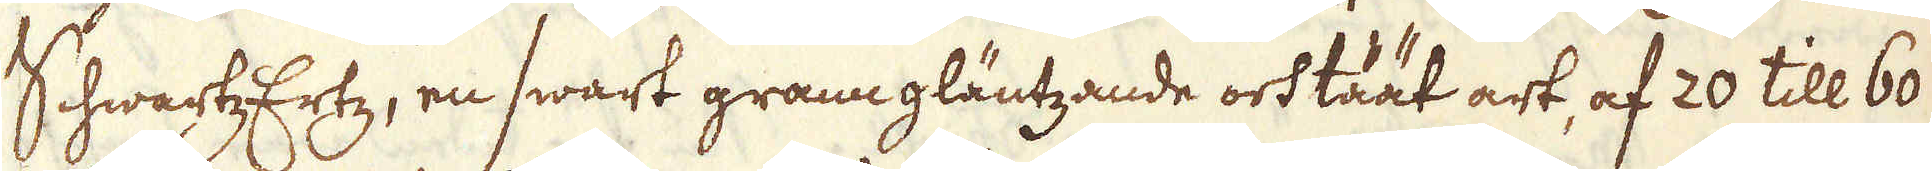SchwartzErtz, en swart granngläntzande och täät art, af 20 till 60
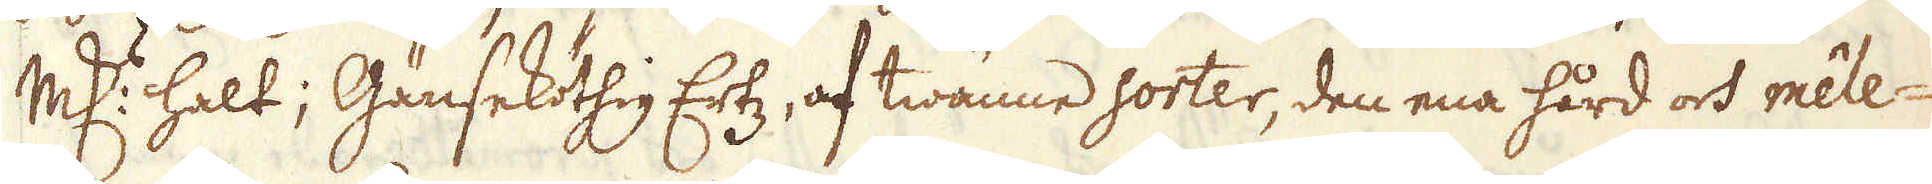marker halt; Gänseköthig Ertz, af twänne sorter, den ena hård och méle-
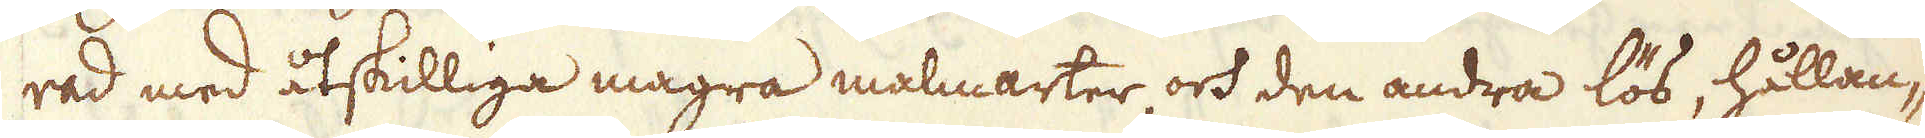rad med åtskilliga magra malmarter och den andra lös, hållan-
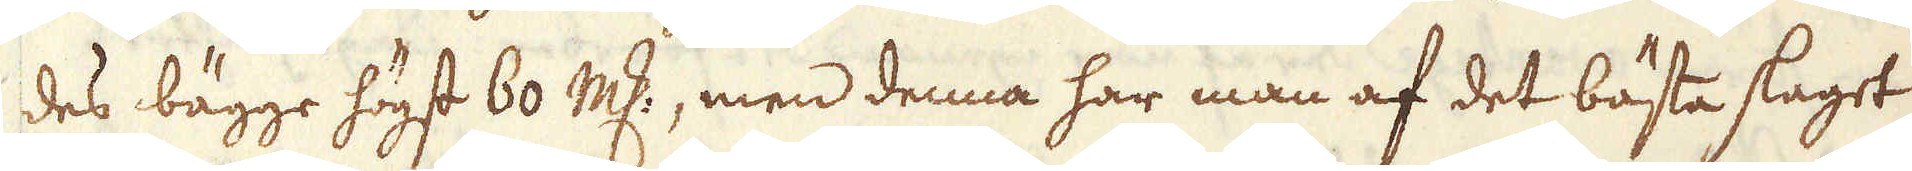des bägge högst 60 marker, men denna har man af det bästa slaget
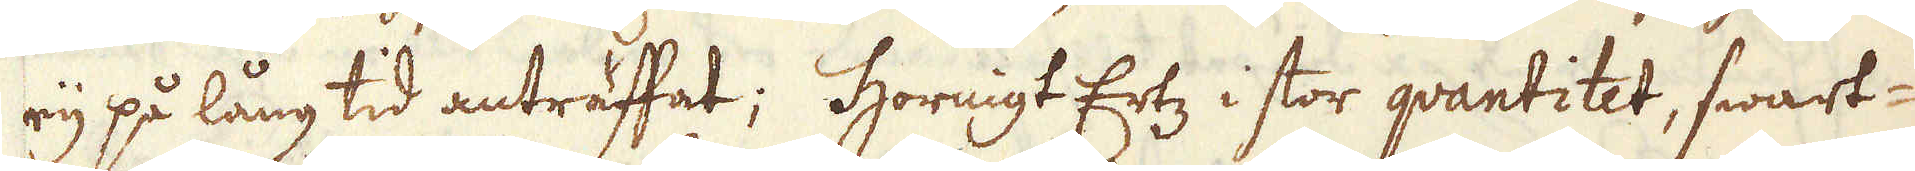eij på lång tid anträffat; Hornigt Ertz i stor quantitet, swart-
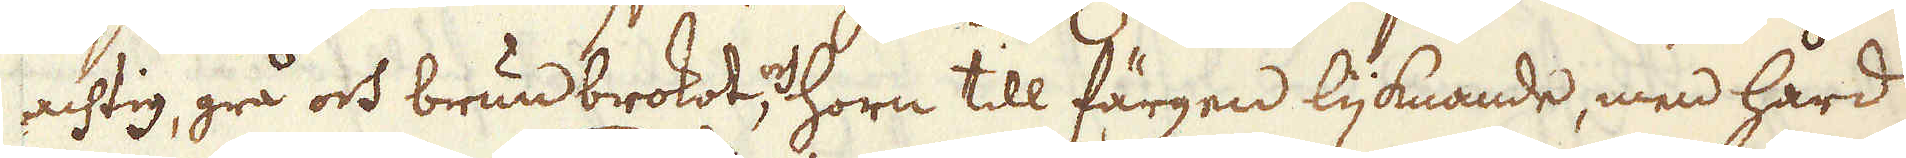achtig, grå och brun brokot, och horn till färgen ljknande, men hård
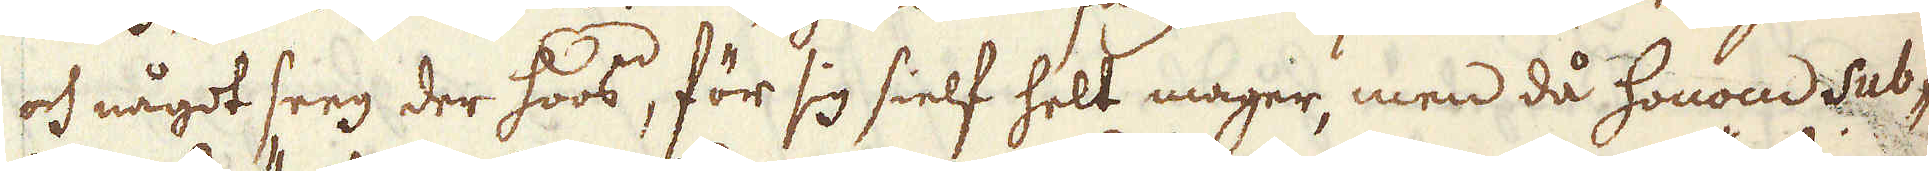och något seeg der hoos, för sig sielf helt mager, men då honom Sub-
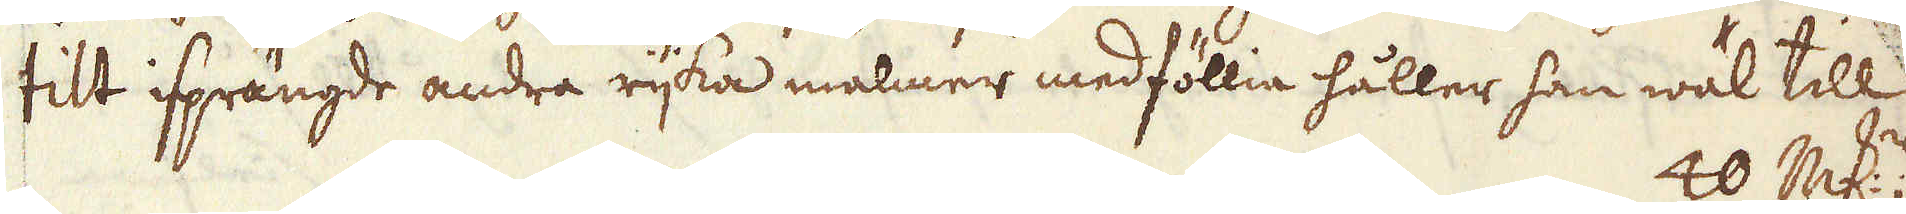tilt isprängde andra rijka malmer medföllie håller han wäl till
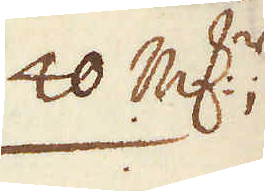40 marker
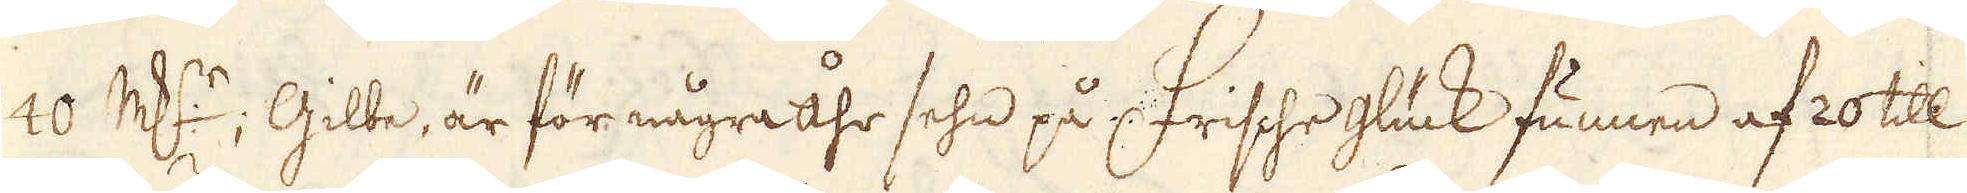40 marker; Gilbe, är för några åhr sehn på Frishe glück funnen af 20 till
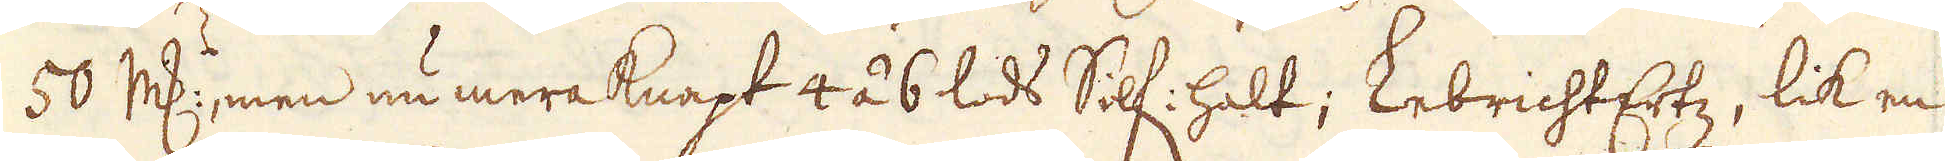50 marker, men nu mera knapt 4 á 6 lods Silf: halt; LebrichtErtz, lik en
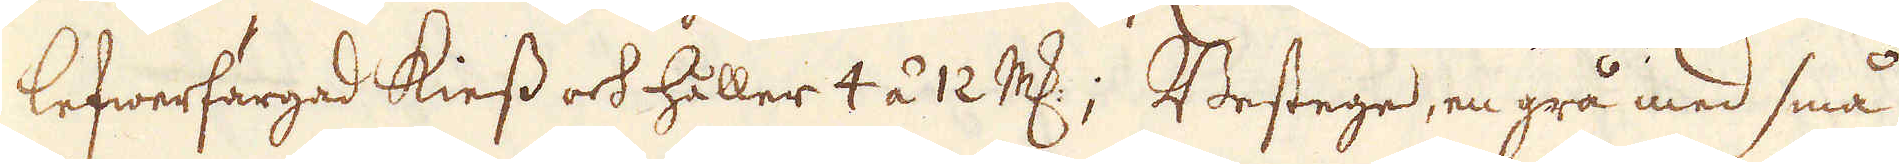lefwerfärgad kiess och håller 4 á 12 marker; Bestege, en grå med små
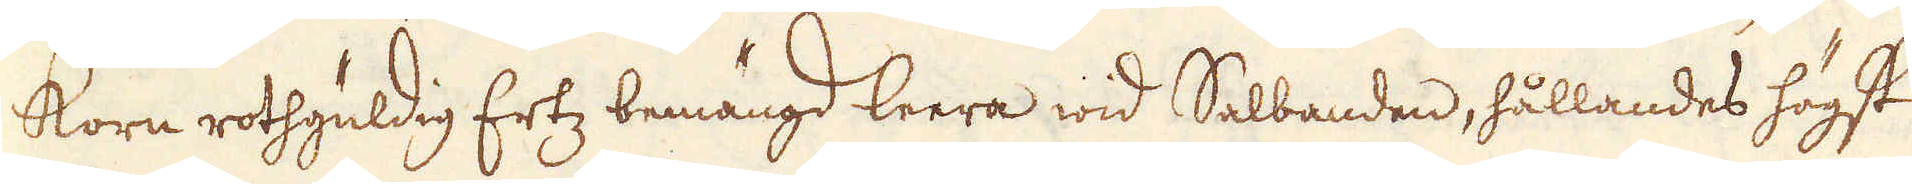Korn rothgüldig Ertz bemängd leera wid Salbanden, hållandes högst
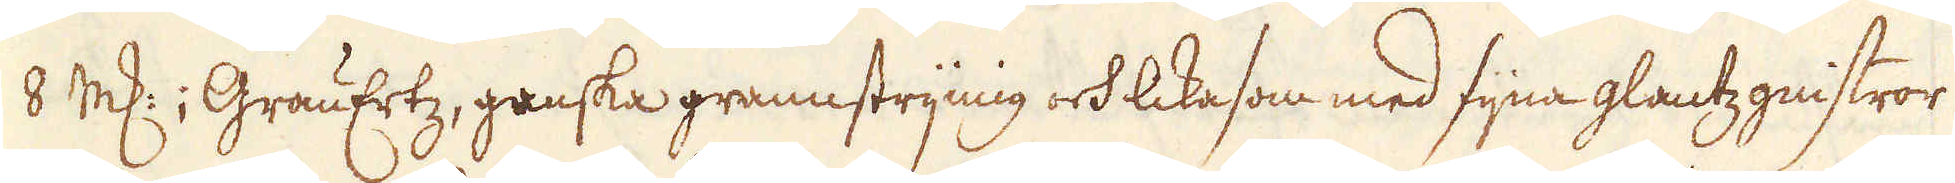8 marker; GrauErtz, ganska grannstrynig och lika som med fijna glantz gnistror
